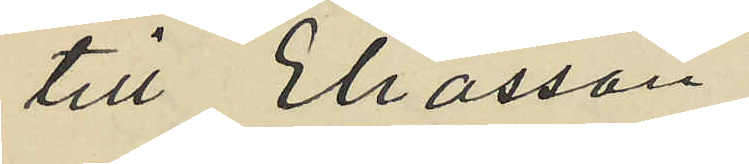till Eliasson
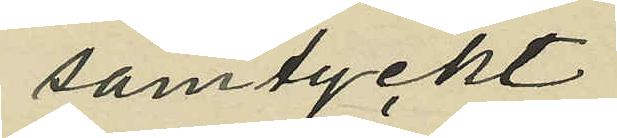samtyckt;
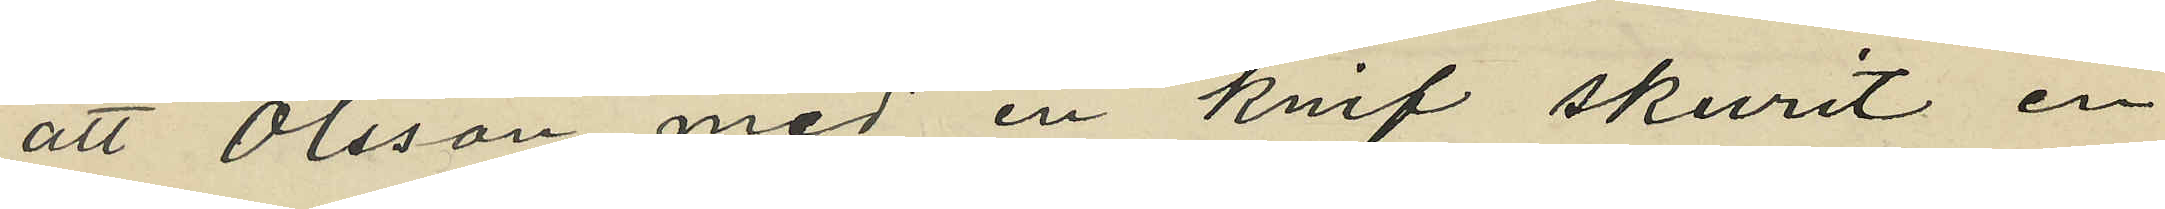att Olsson med en knif skurit en
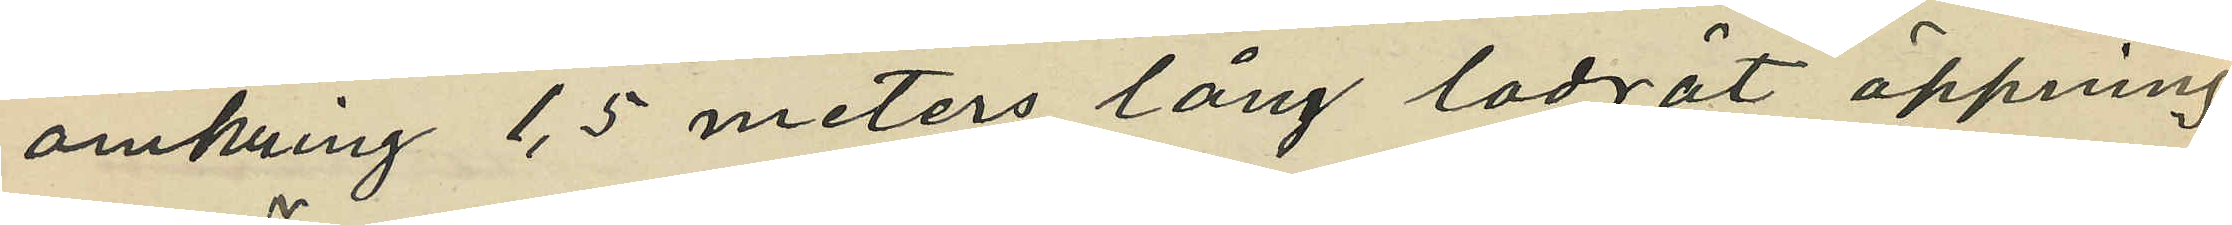omkring 1,5 meters lång lodrät öppning
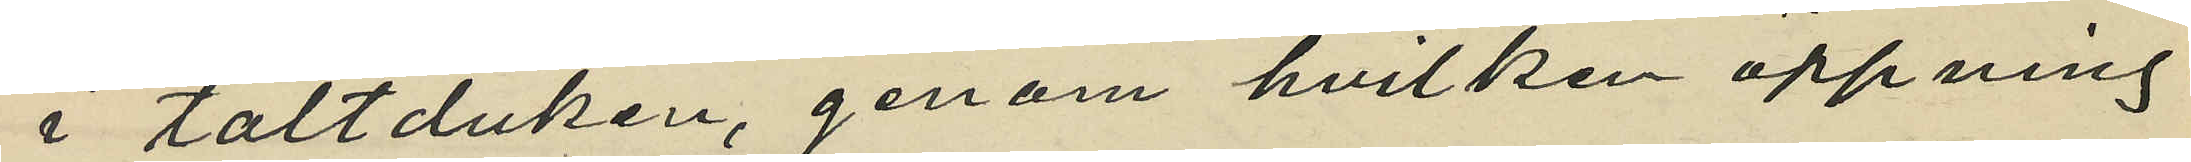i tältduken, genom hvilken öppning
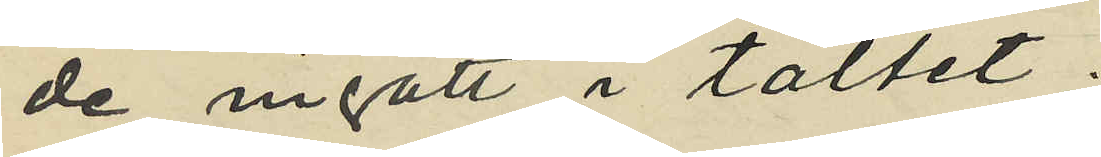de ingått i tältet;
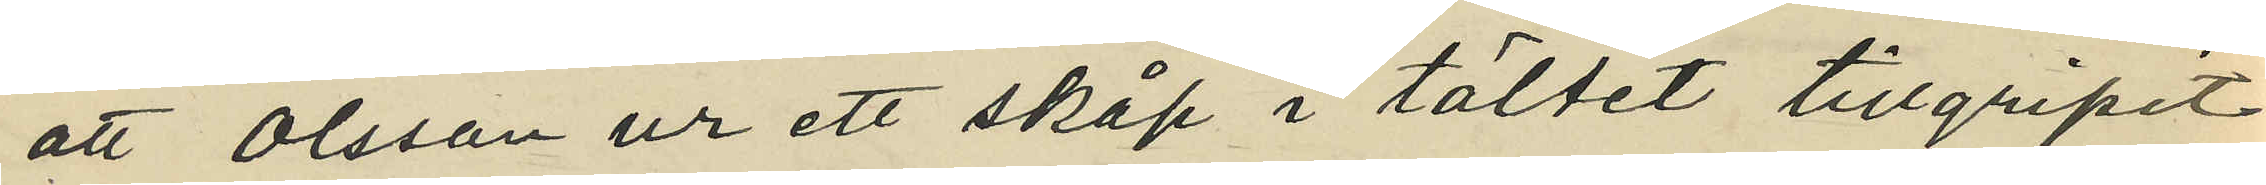att Olsson ur ett skåp i tältet tillgripit
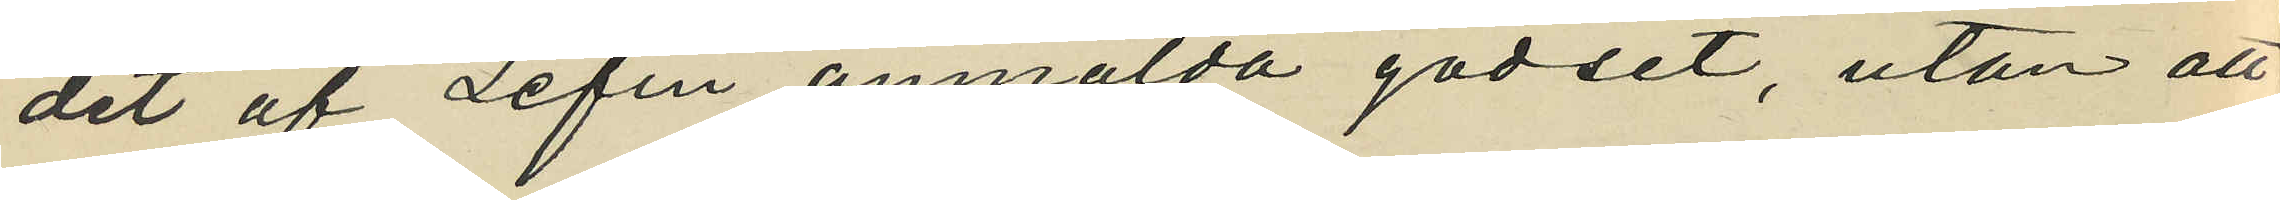det af Lefin anmälda godset, utan att
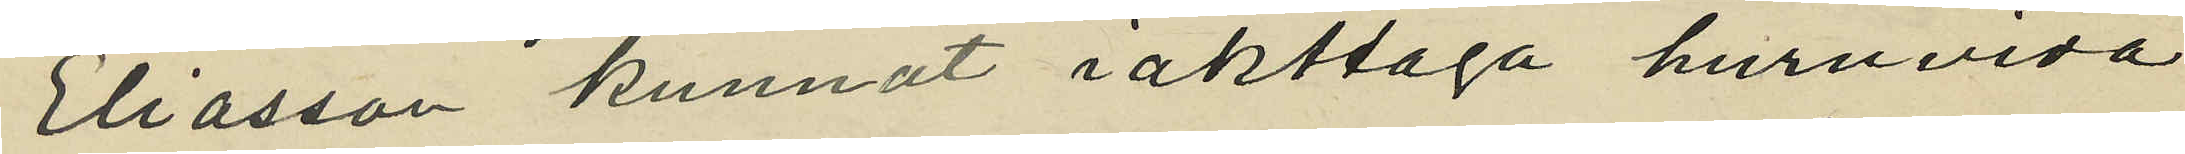Eliasson kunnat iakttaga huruvida
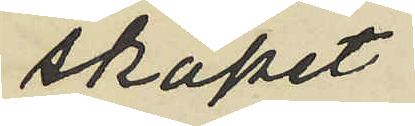skåpet
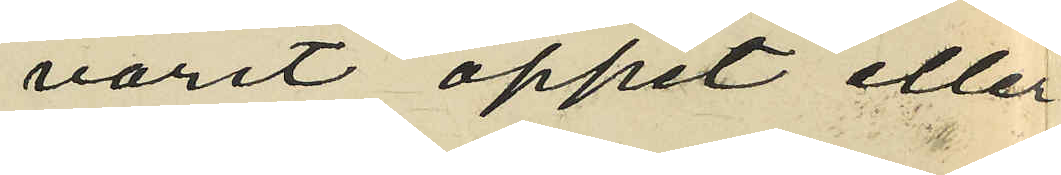varit öppet eller
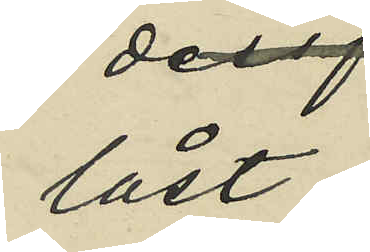låst,
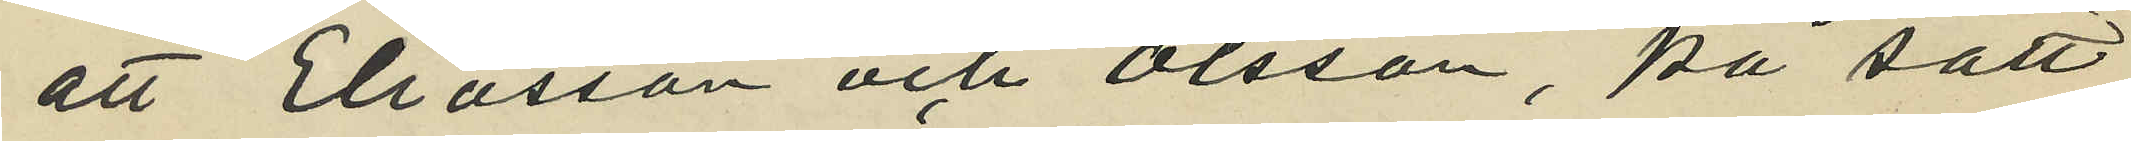att Eliasson och Olsson, på sätt
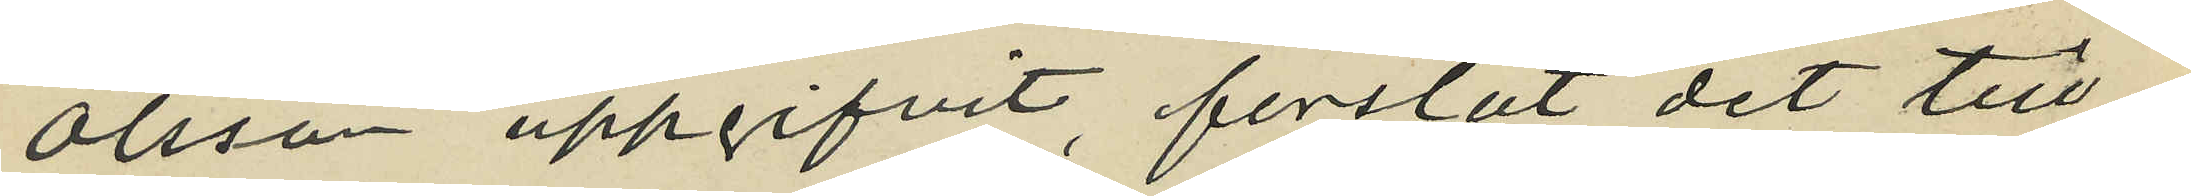Olsson uppgifvit, forslat det till¬
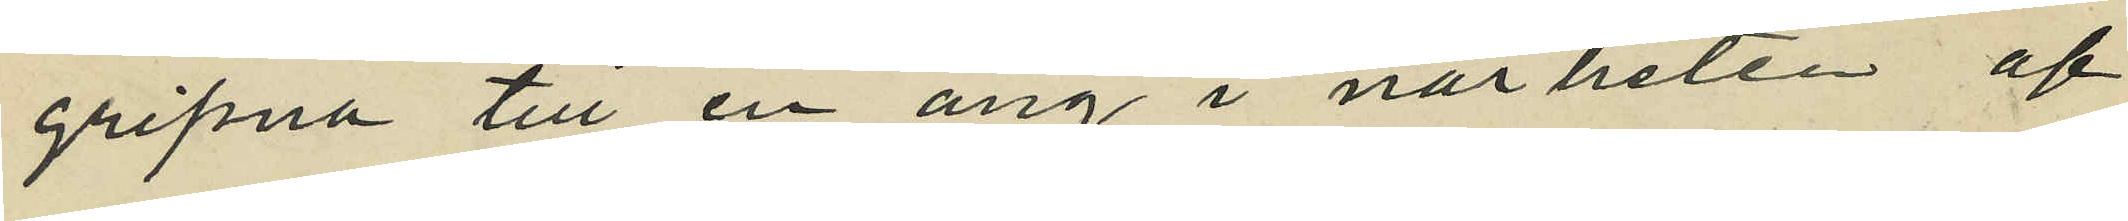gripna till en äng i närheten af
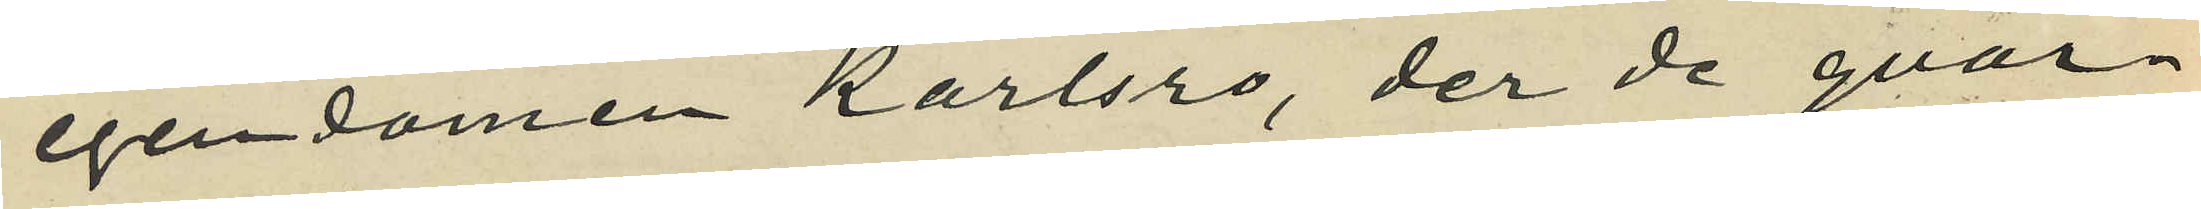egendomen Karlsro, der de qvar¬
